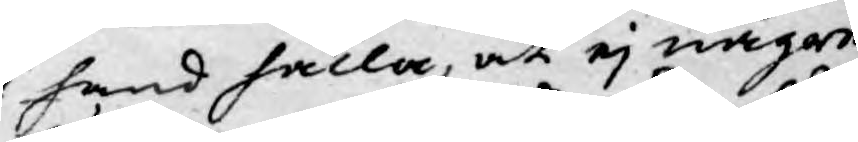hand hålla, at ej någre
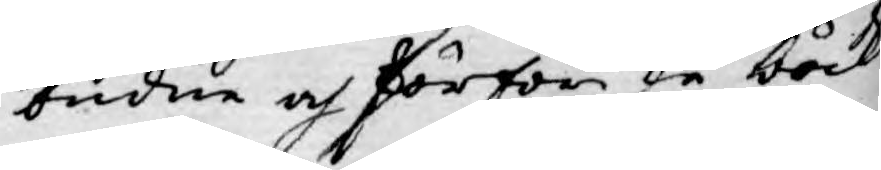budne och förföriske böcker
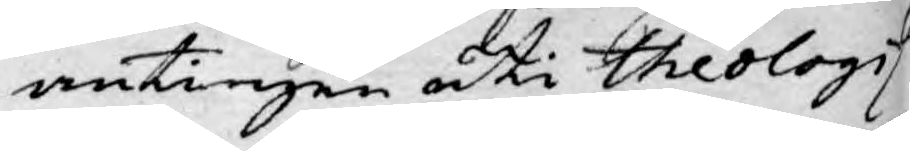antingen uti Theologis
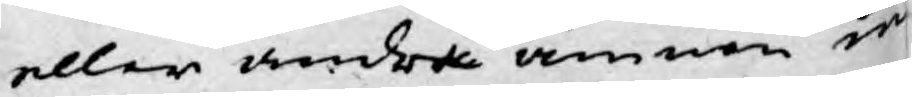eller andra ämnen in¬
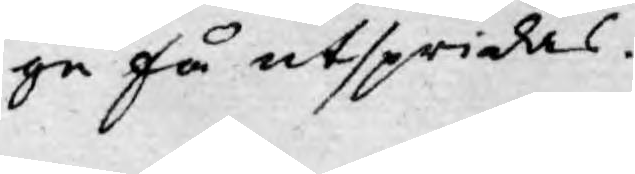ge få utspridas.
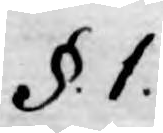§. 1.
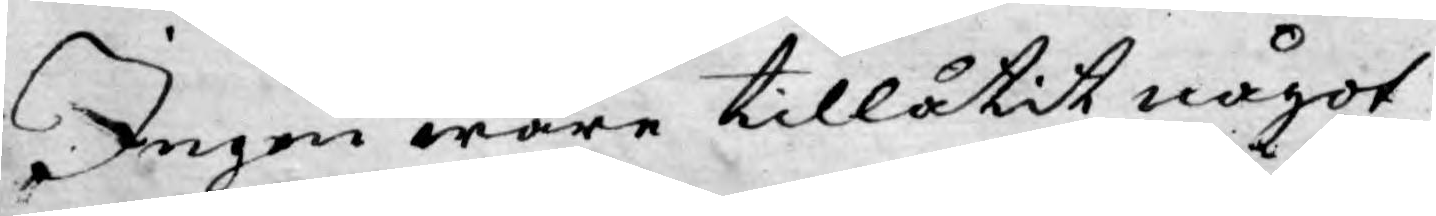Ingen ware tillåtit något
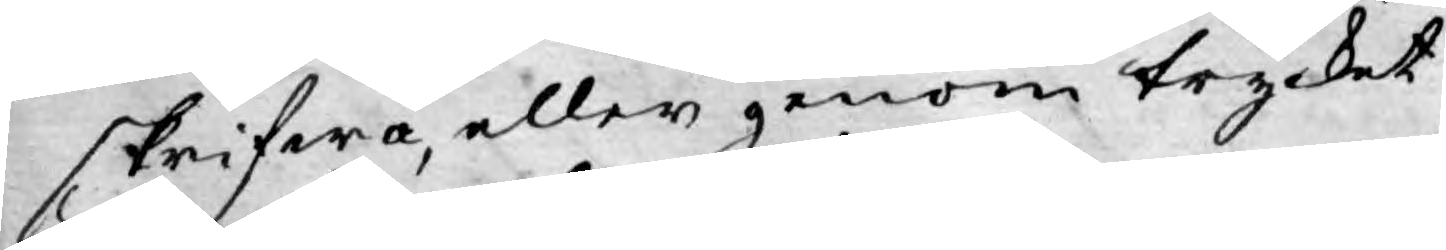skrifwa, eller genom trycket
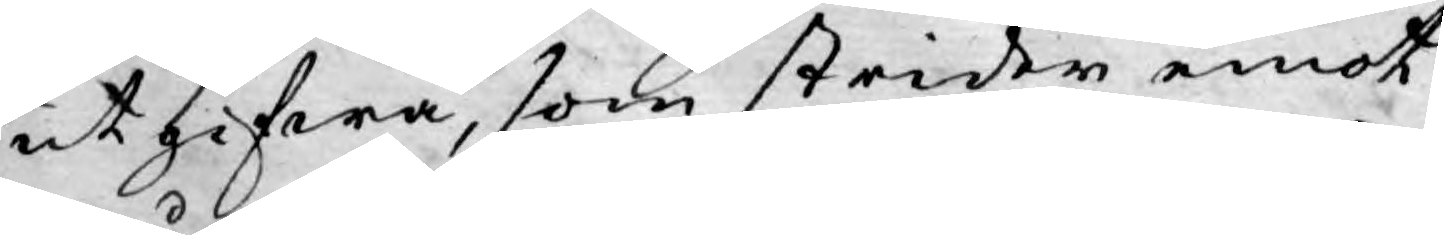utgifwa, som strider emot
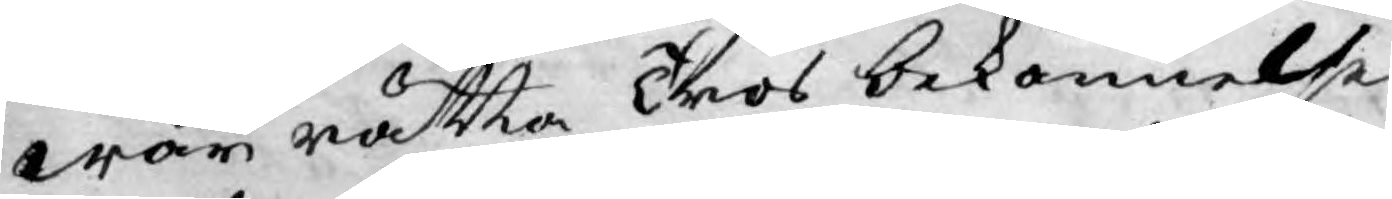wår rätta Tros bekännelse
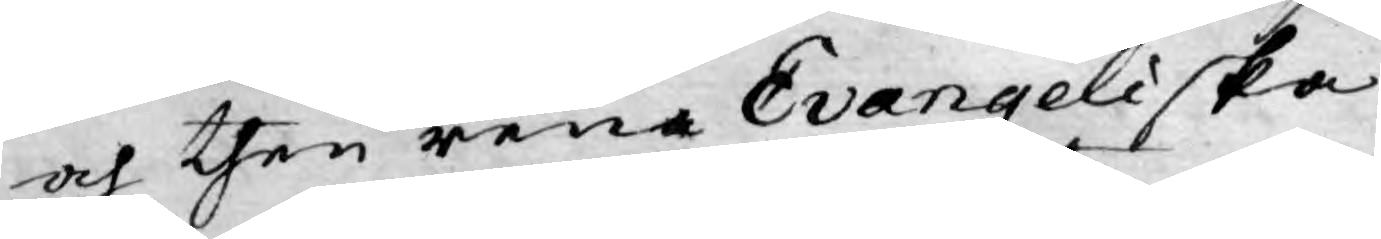och then rena Evangeliska
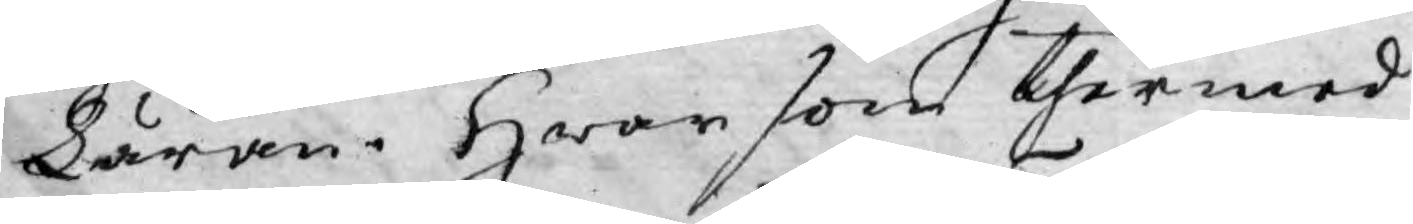Läran. Hwar som thermed
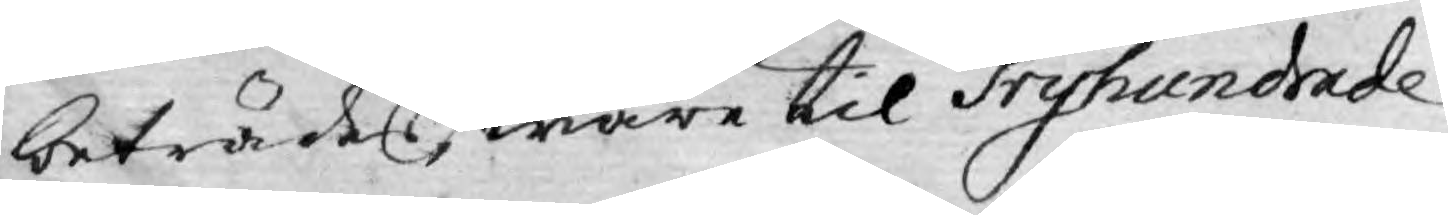beträdes, ware til Tryhundrade
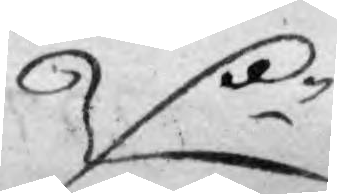D:r
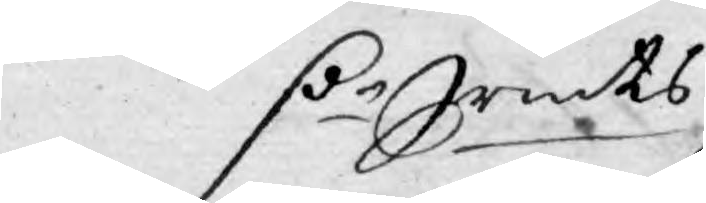D:r Srmts
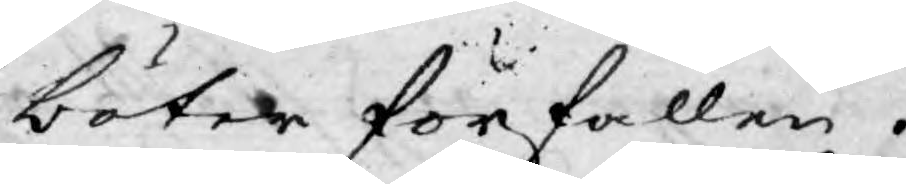böter förfallen.
